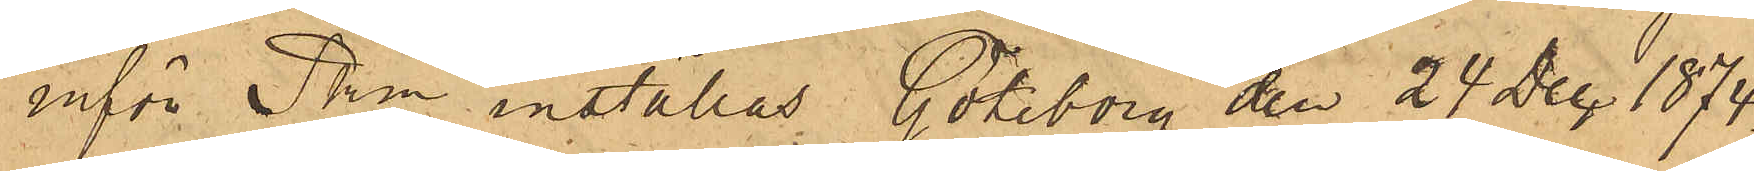inför Pkn inställas. Göteborg den 24 Dec. 1874.
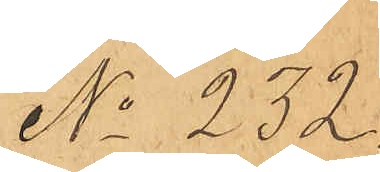No 232.
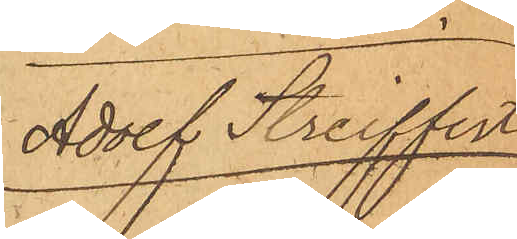Adolf Streiffert
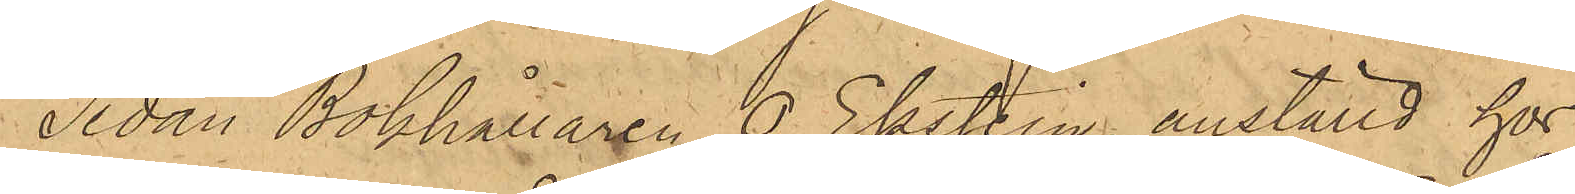Sedan Bokhållaren O. Ekström, anställd hos
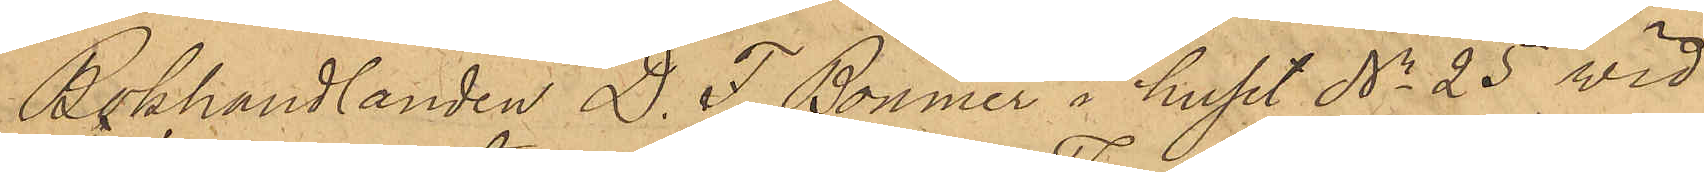Bokhandlanden D. F. Bonnier i huset No 25 vid
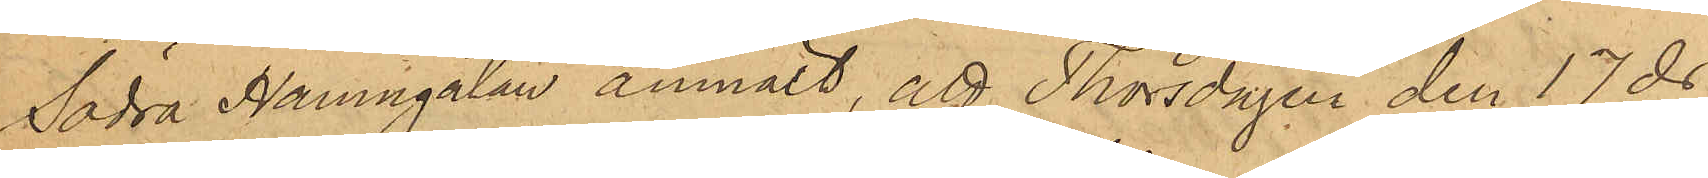Södra Hamngatan anmält, att Thorsdagen den 17 ds
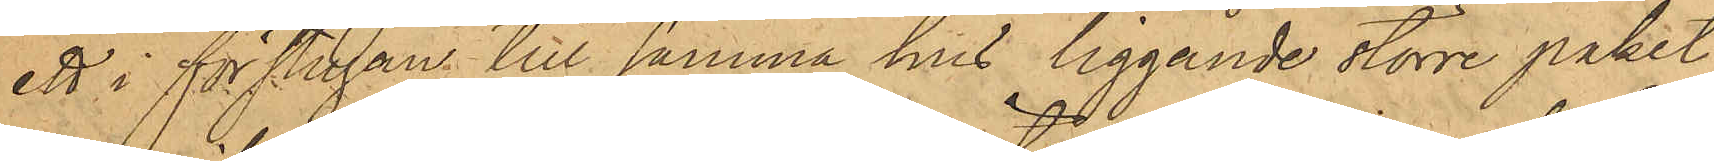ett i förstugan till samma hus liggande större paket
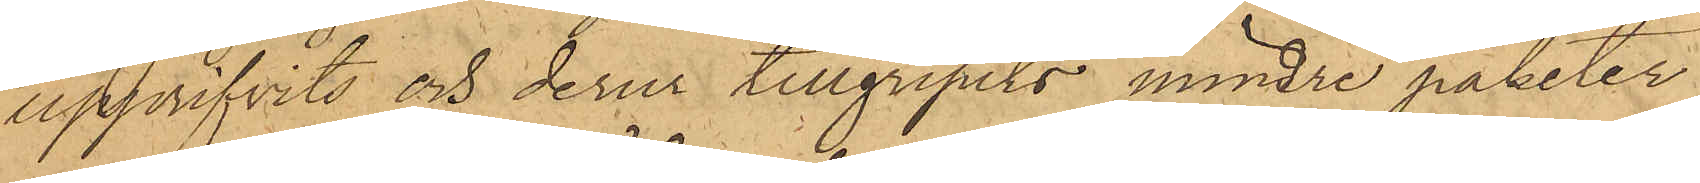upprifvits och derur tillgripits mindre paketer,
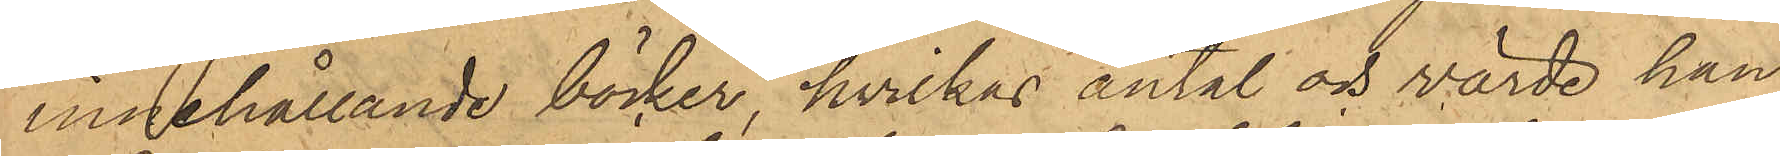innehållande böcker, hvilkas antal och värde han
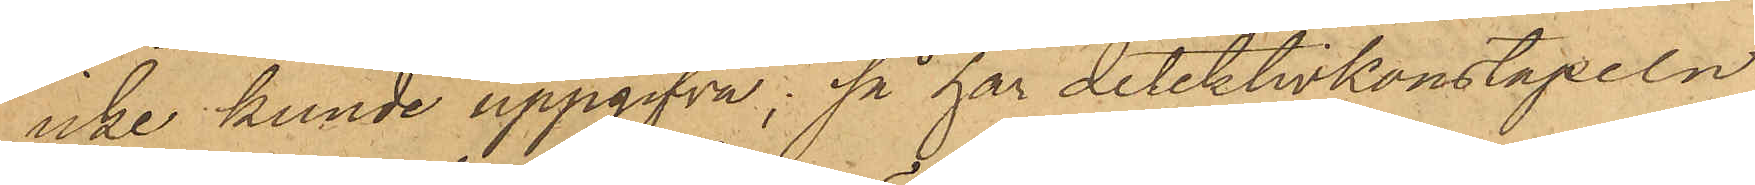icke kunde uppgifva; så har detektivkonstapeln
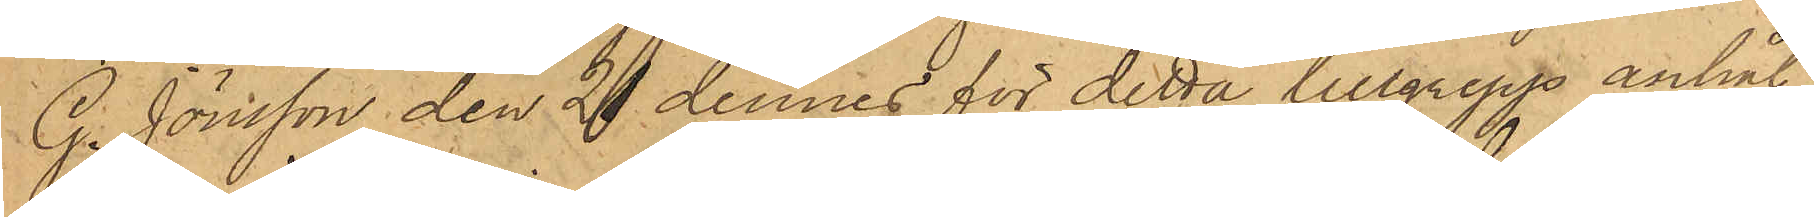G. Jönsson den 21 dennes för detta tillgrepp anhål¬
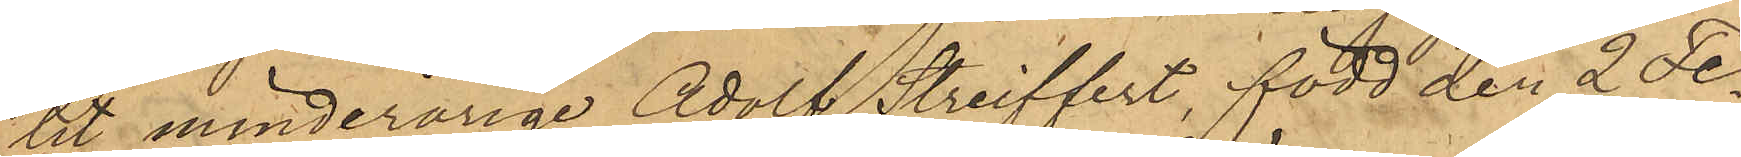tit minderårige Adolf Streiffert, född den 2 Fe¬
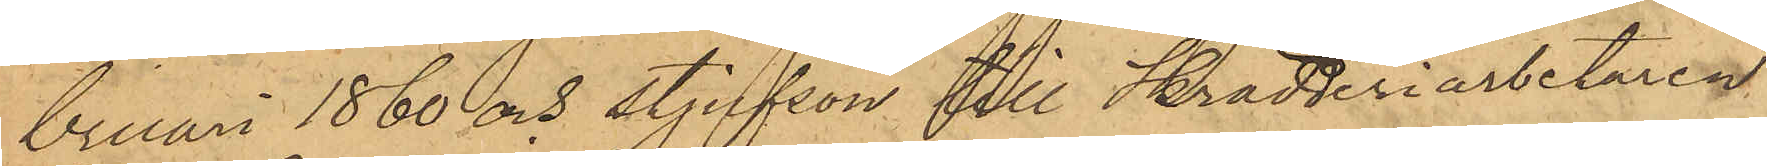bruari 1860 och styfson till Skrädderiarbetaren
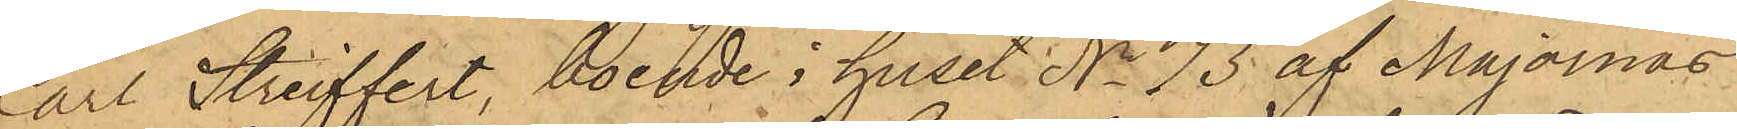Carl Streiffert, boende i huset No 73 af Majornas
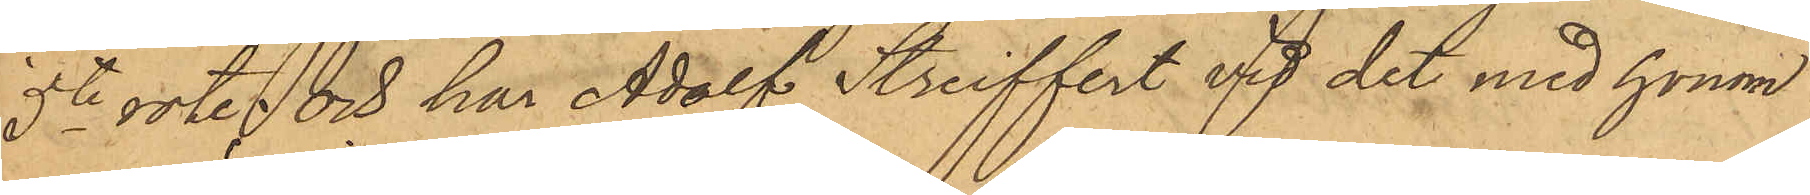5te rote, och har Adolf Streiffert vid det med honom
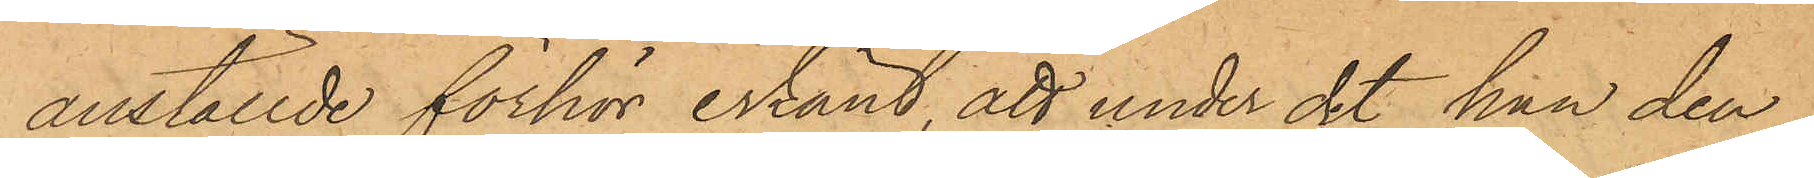anställde förhör erkänt, att under det han den
